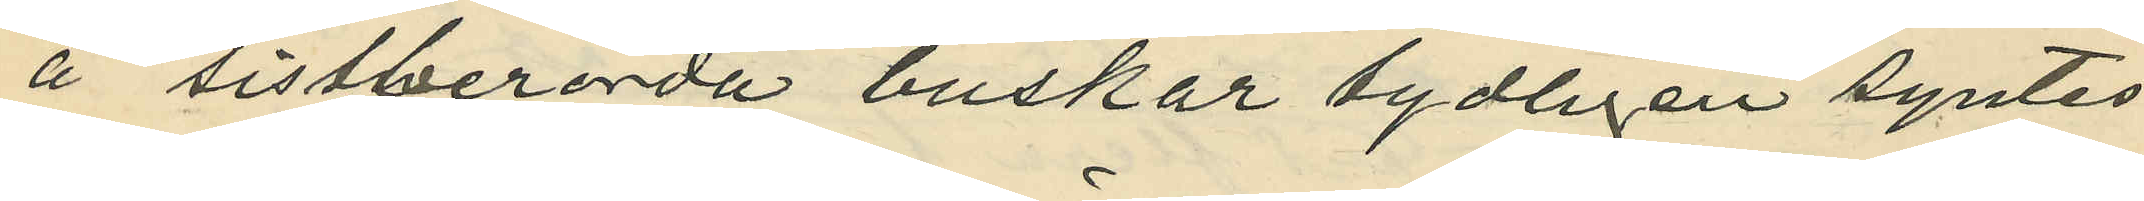å sistberörda buskar tydligen syntes
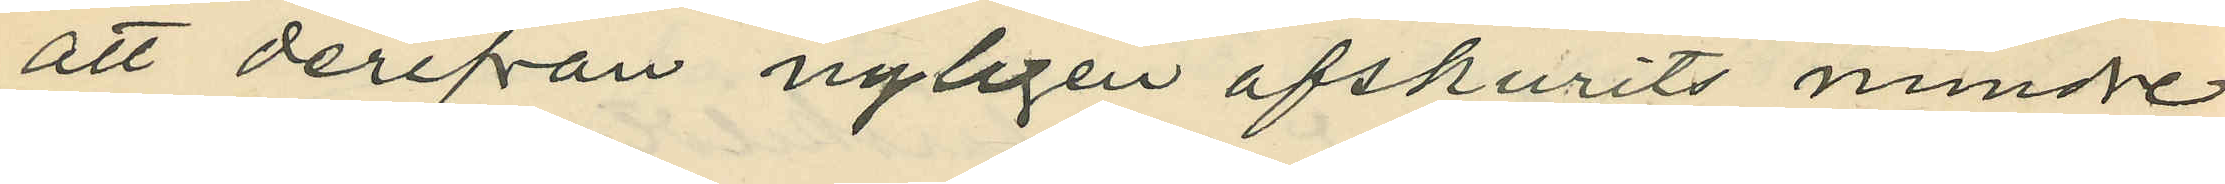att derifrån nyligen afskurits mindre
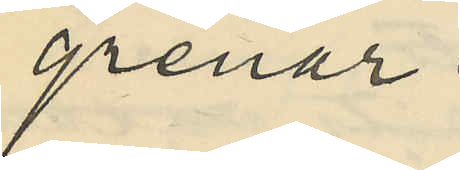grenar.
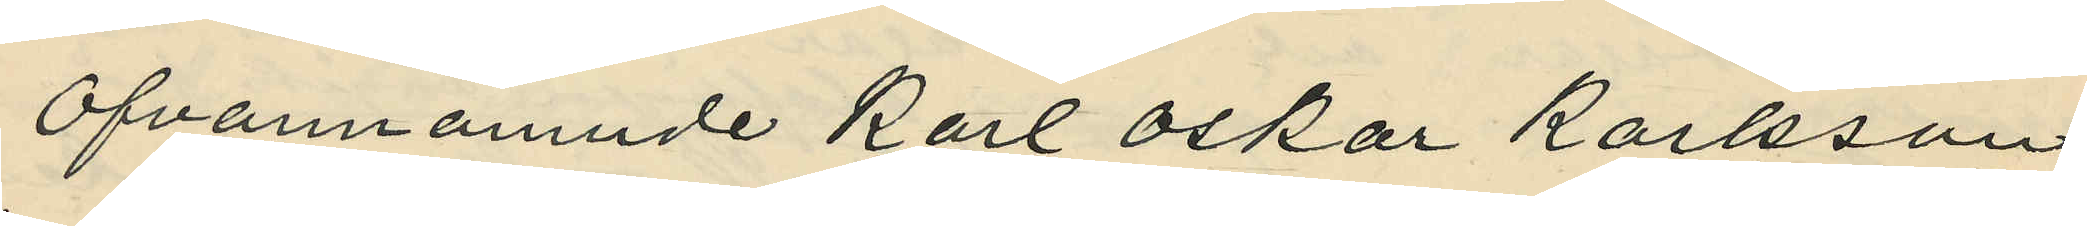Ofvannämnde Karl Oskar Karlsson,
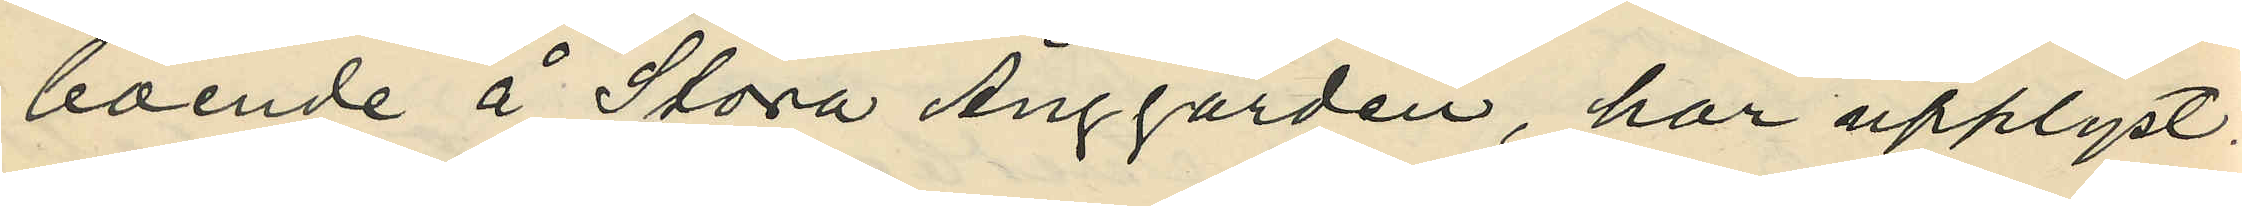boende å Stora Änggården, har upplyst:
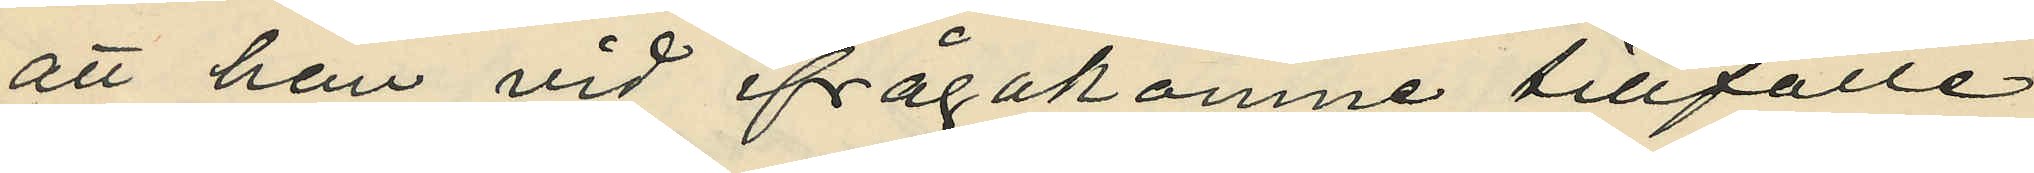att han vid ifrågakomne tillfälle
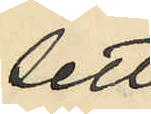sett
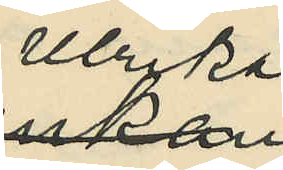Ulrika
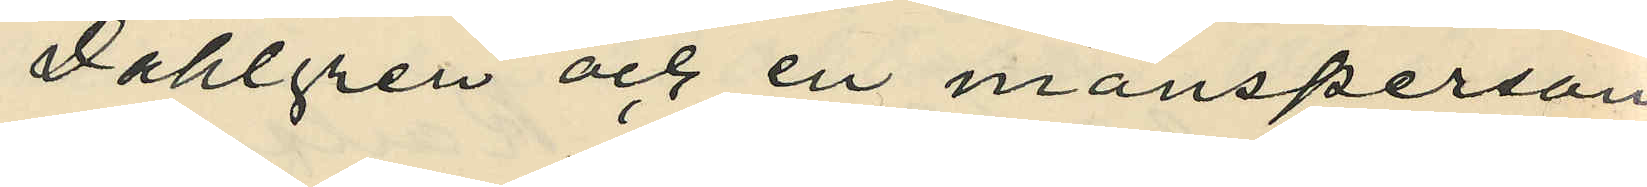Dahlgren och en mansperson
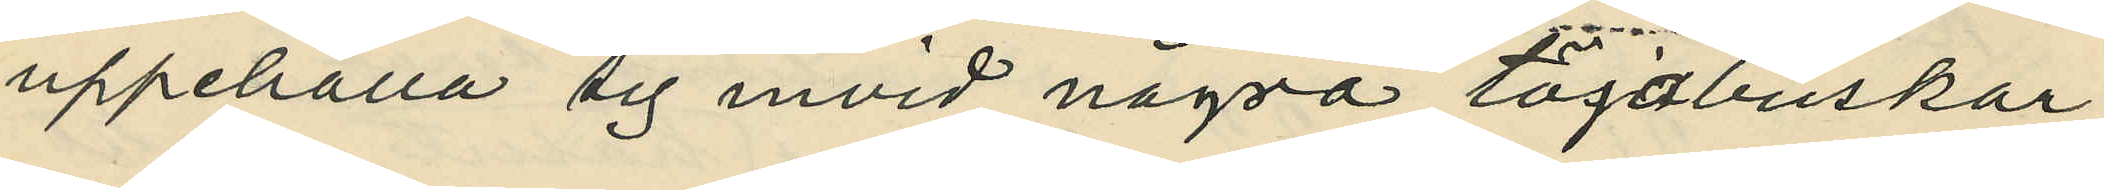uppehålla sig invid några töjabuskar;
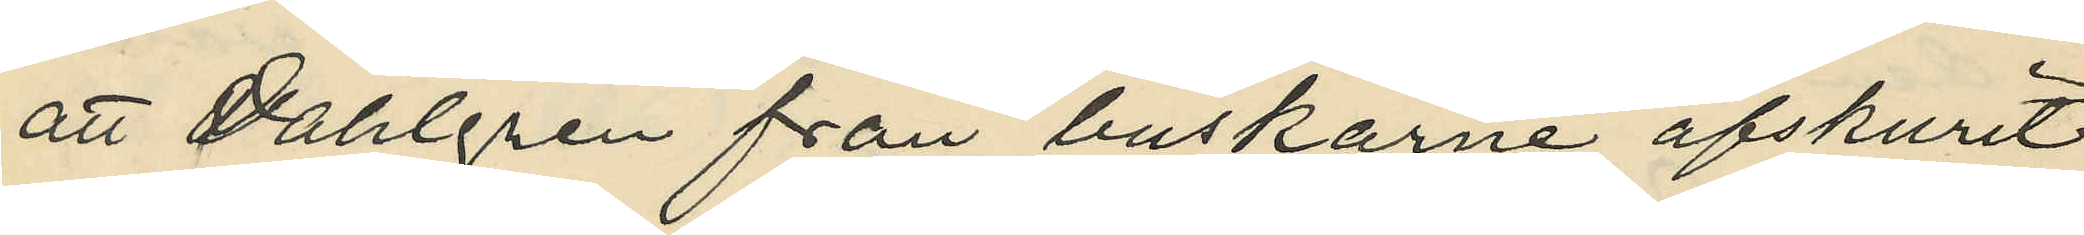att Dahlgren från buskarne afskurit
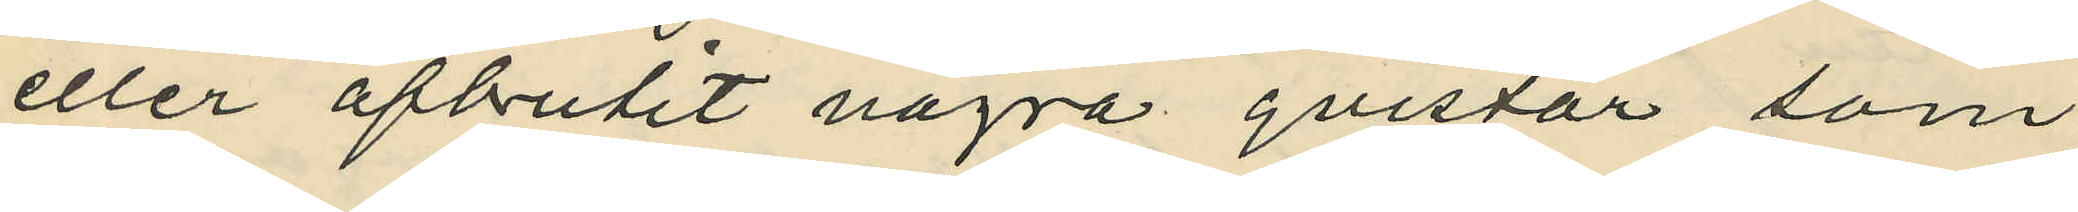eller afbrutit några qvistar som
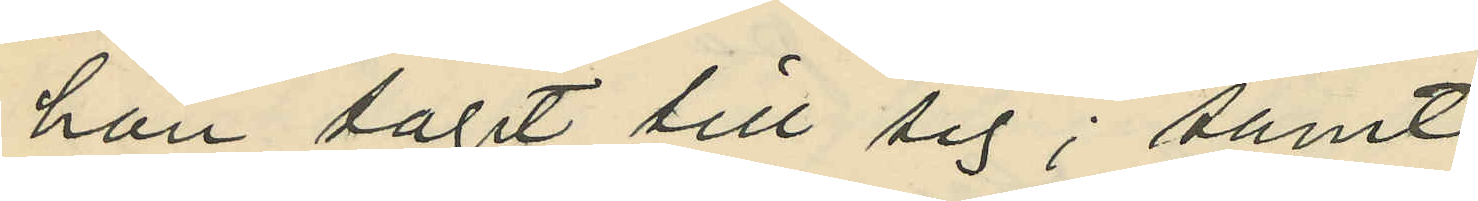hon tagit till sig; samt
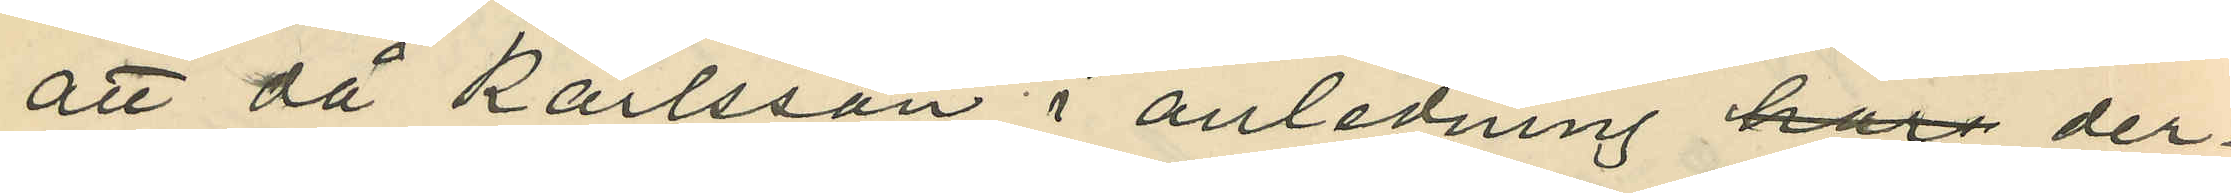att då Karlsson i anledning har der¬
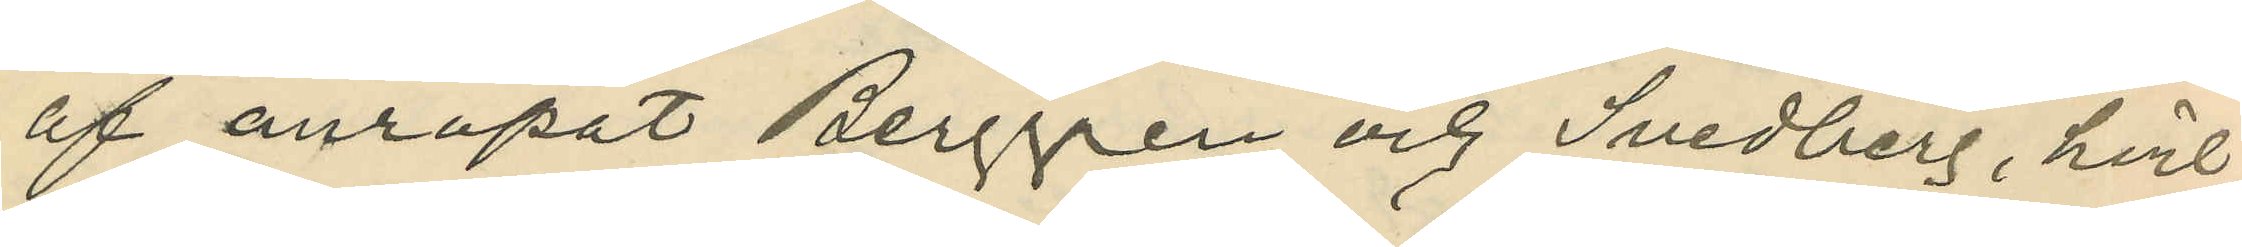af anropat Berggren och Svedberg, hvil¬
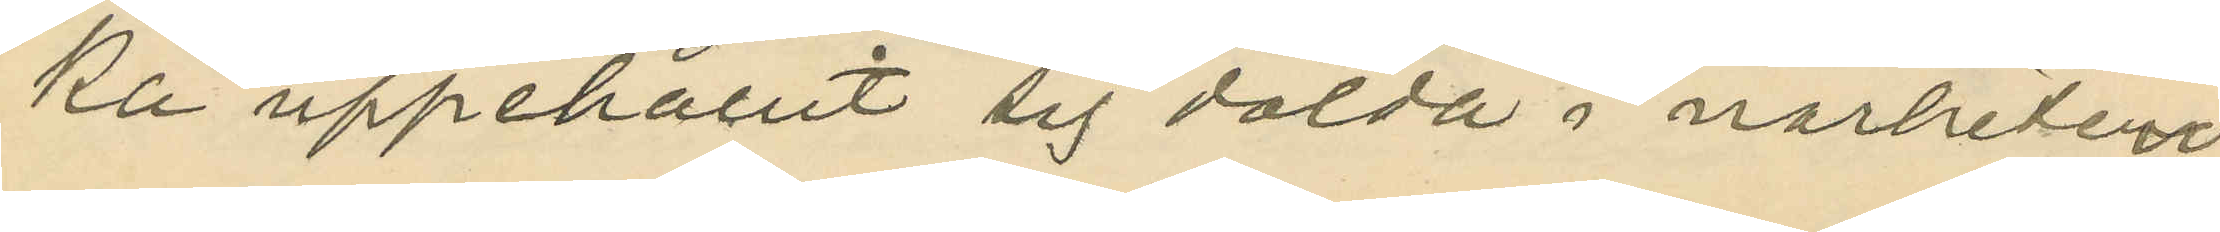ka uppehållit sig dolda i närheten,
